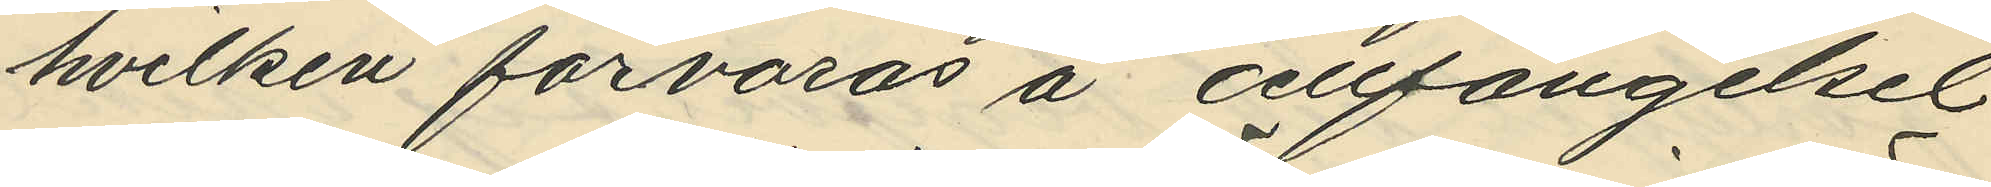hvilken förvaras å cellfängelset
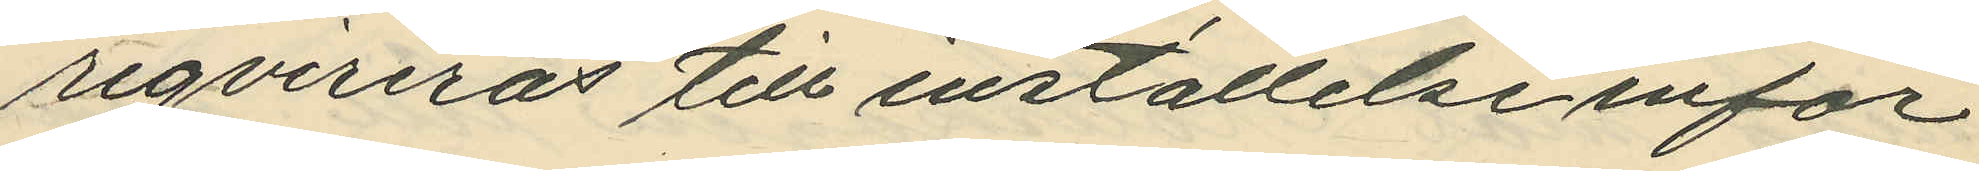reqvireras till inställelse inför
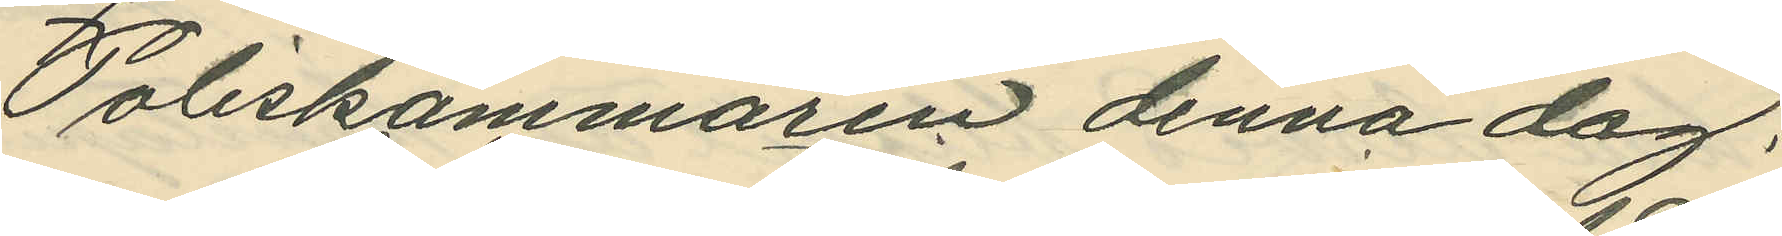Poliskammaren denna dag.
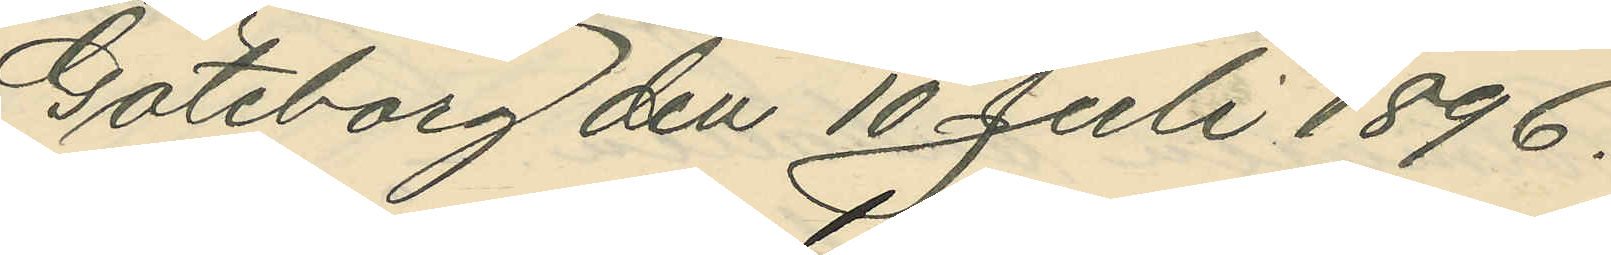Göteborg den 10 Juli 1896.
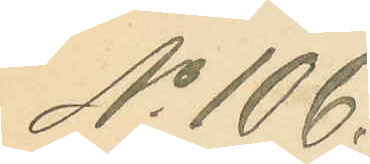No 106.
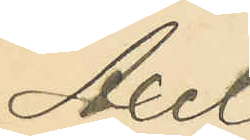Axel
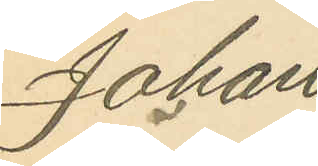Johan
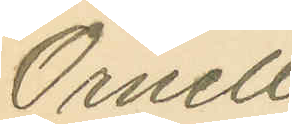Örnell
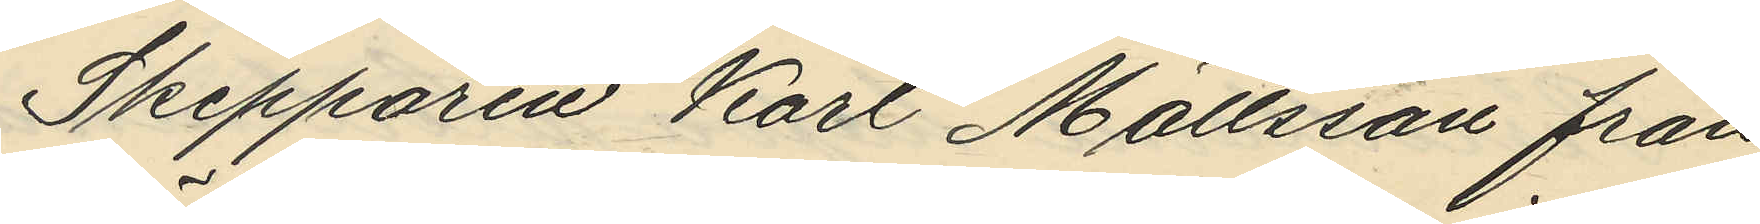Skepparen Karl Mattsson från
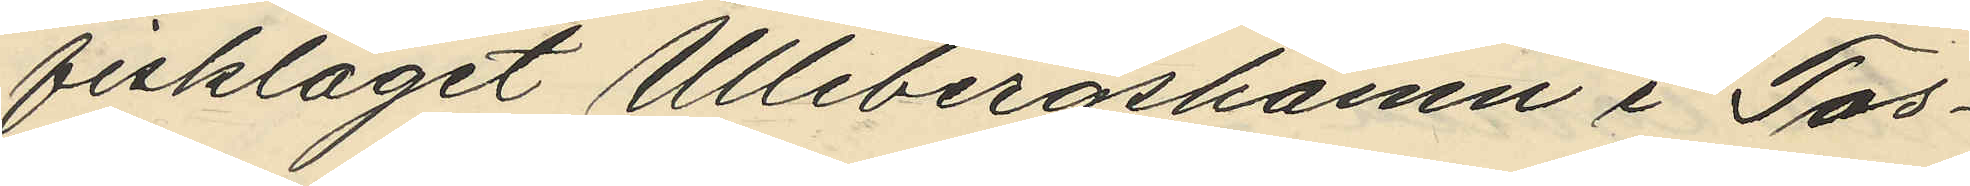fiskläget Ullebergshamn i Tos¬
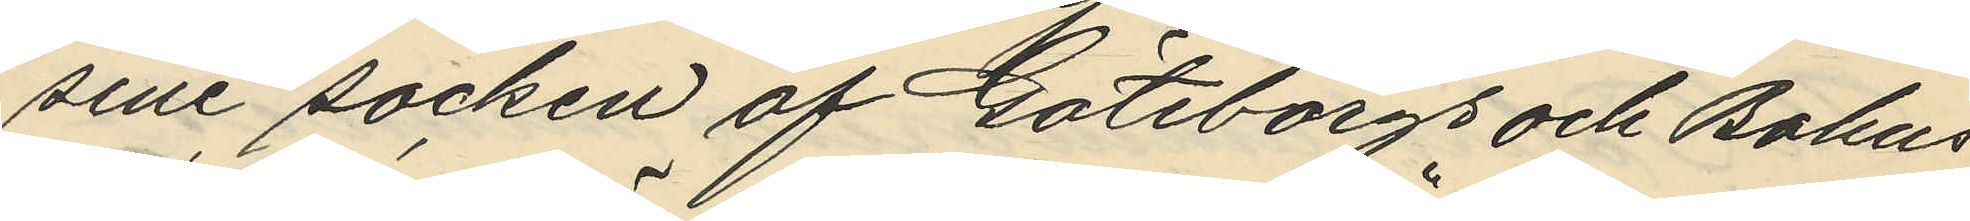sene socken af Göteborgs och Bohus
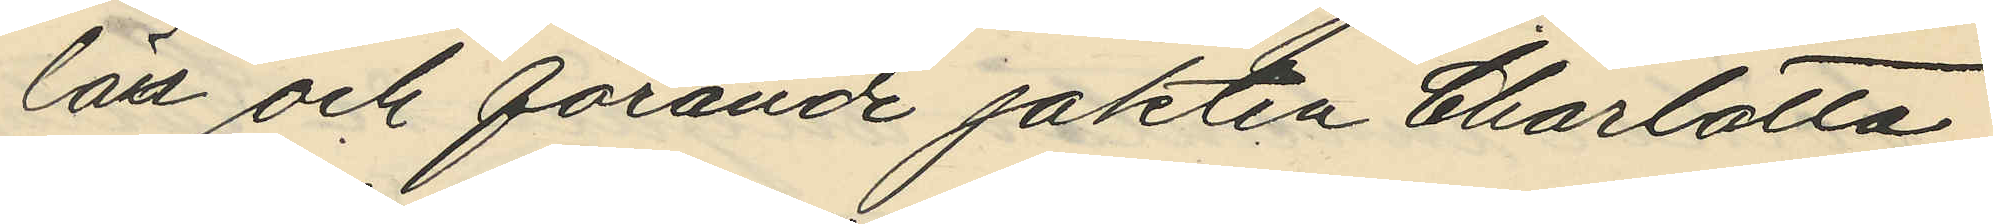län och förande jakten "Charlotta"
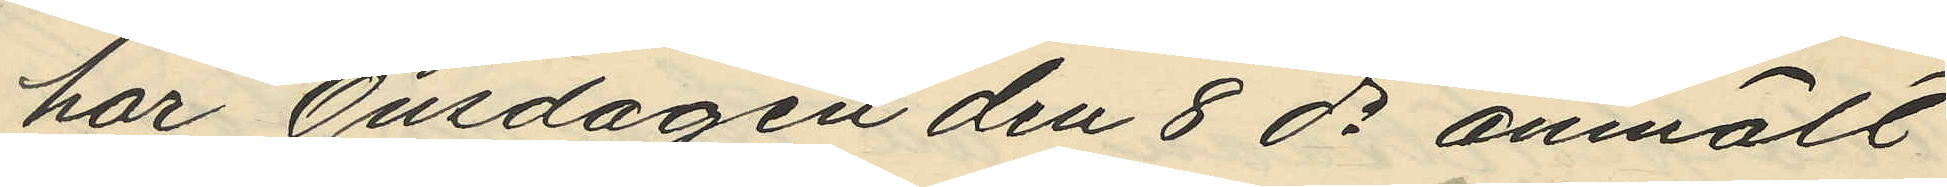har Onsdagen den 8 ds anmält
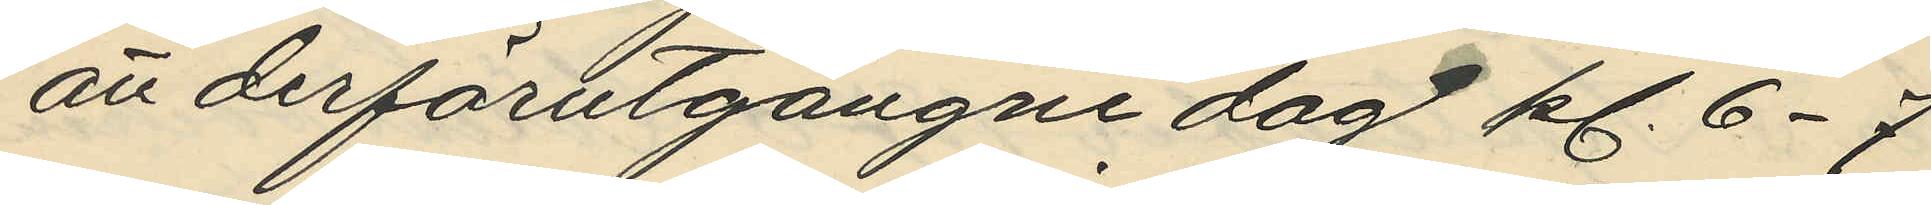att derförutgångne dag kl. 6-7
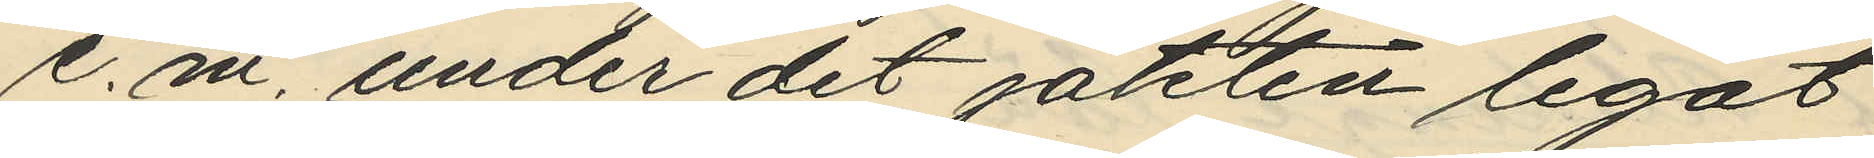e. m. under det jakten legat
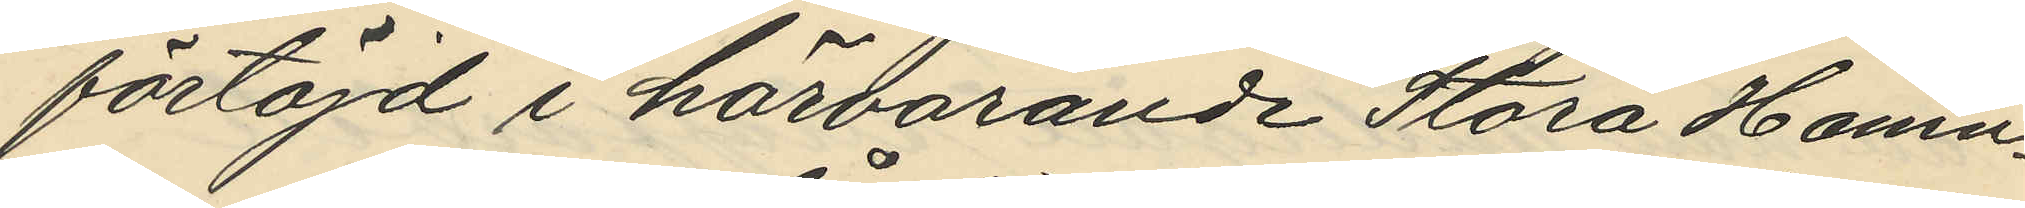förtöjd i härvarande Stora Hamn¬
